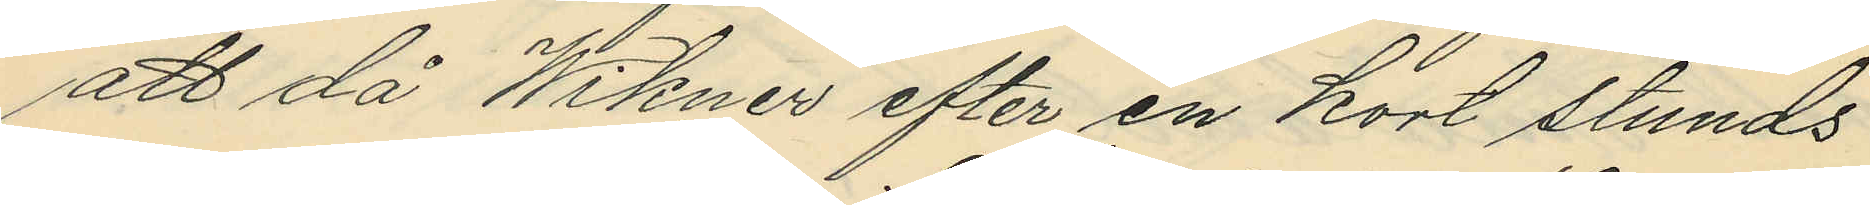att då Wikner efter en kort stunds
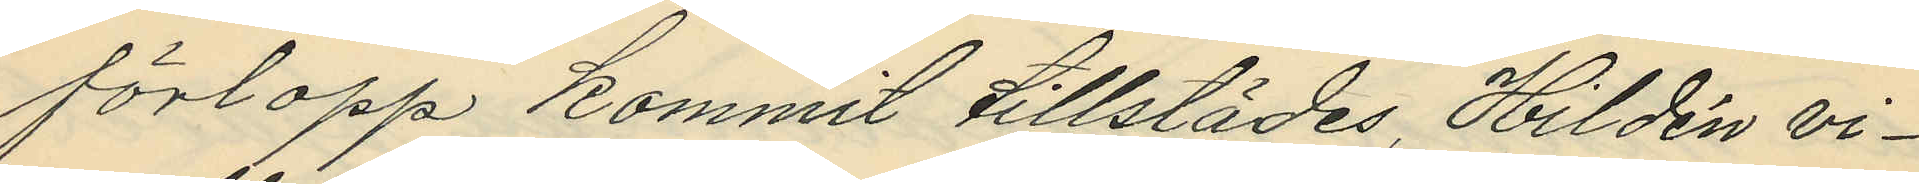förlopp kommit tillstädes, Hildén vi¬
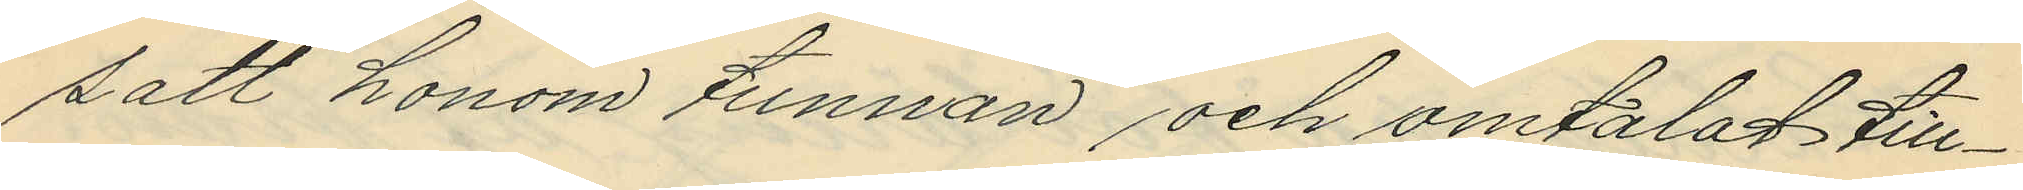satt honom tunnan och omtalat till¬
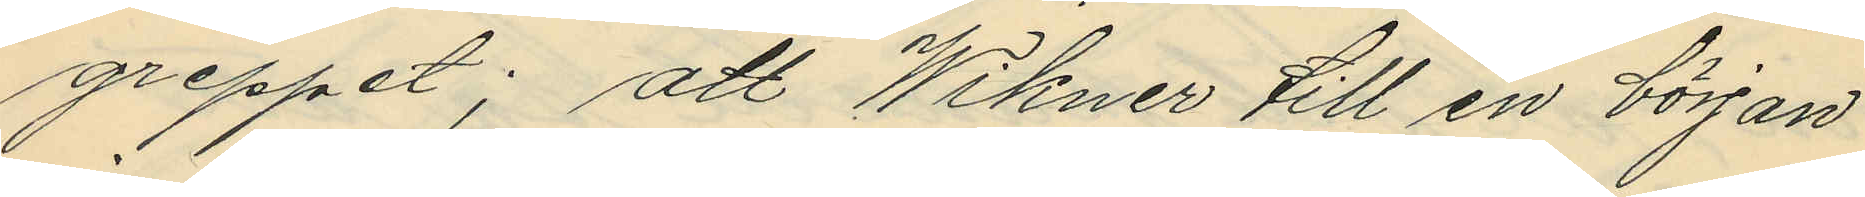greppet; att Wikner till en början
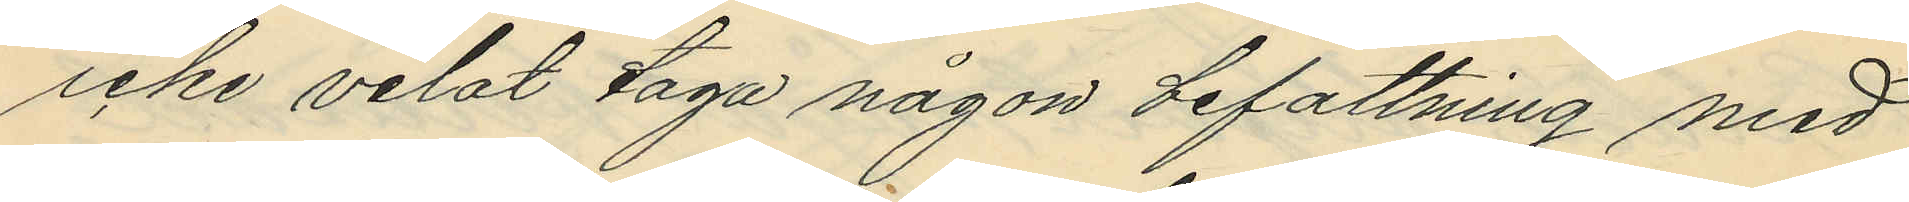icke velat taga någon befattning med
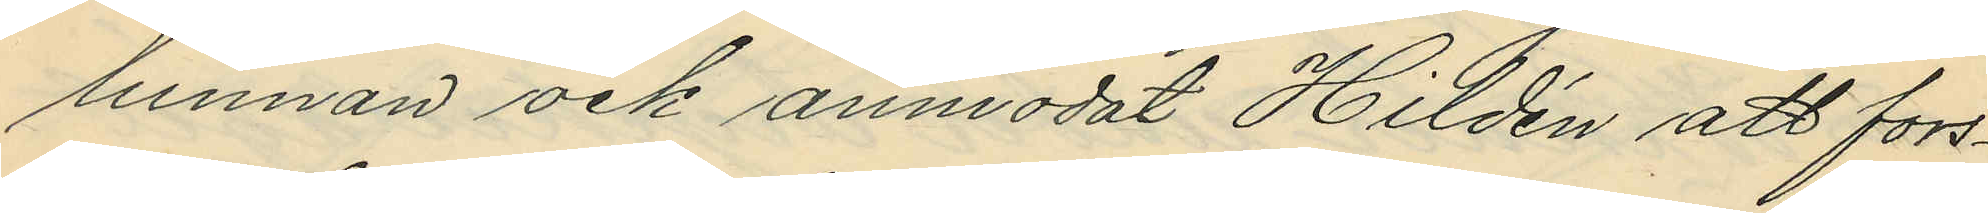lunnan och anmodat Hildén att fors¬
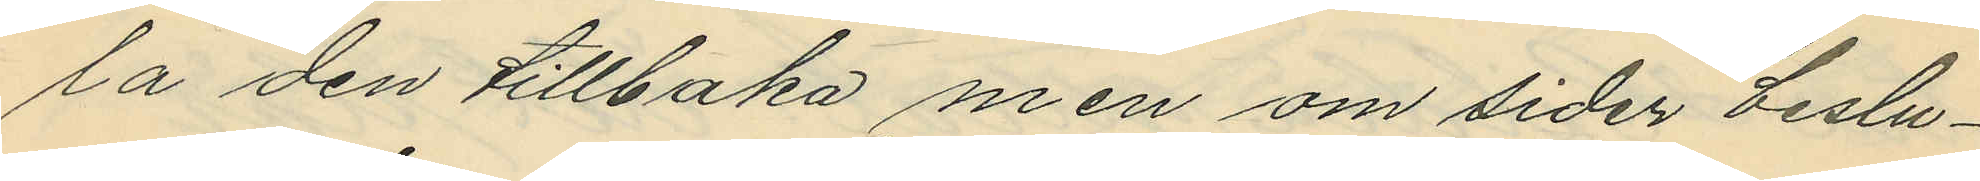la den tillbaka men om sider beslu¬
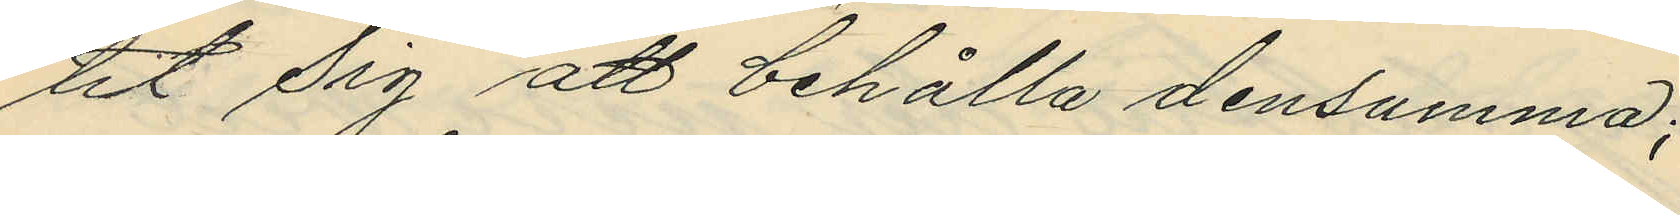tit sig att behålla densamma;
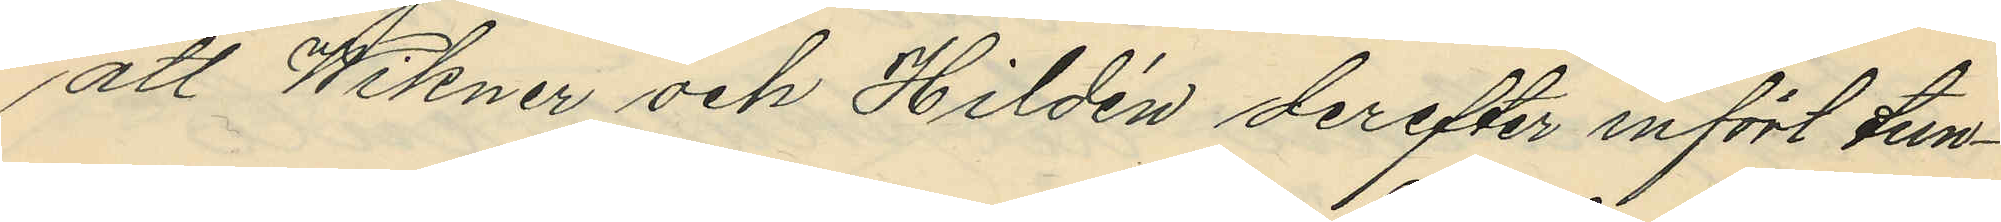att Wikner och Hildén derefter infört tun¬
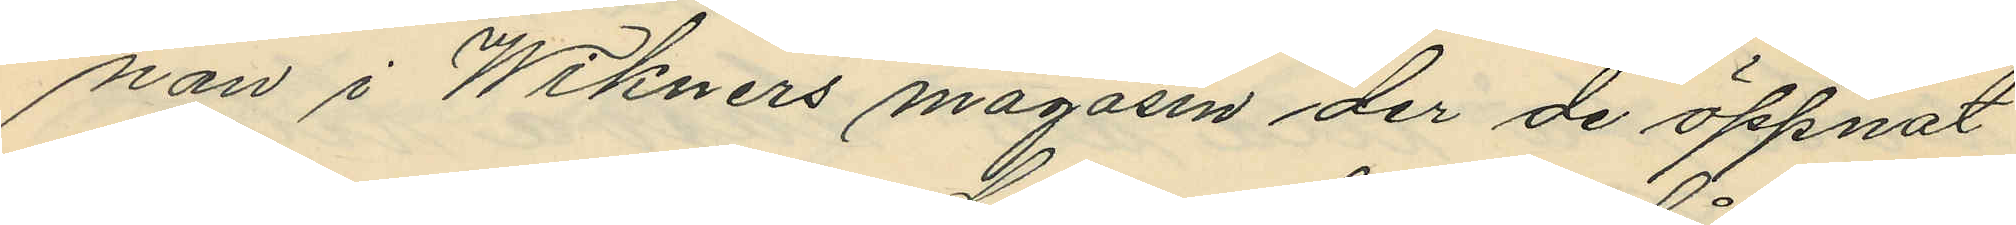nan i Wikners magasin der de öppnat
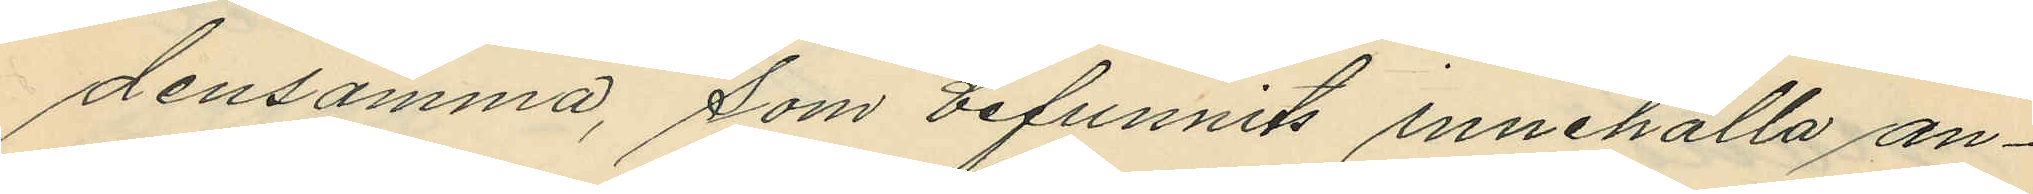densamma, som befunnits innehålla an¬
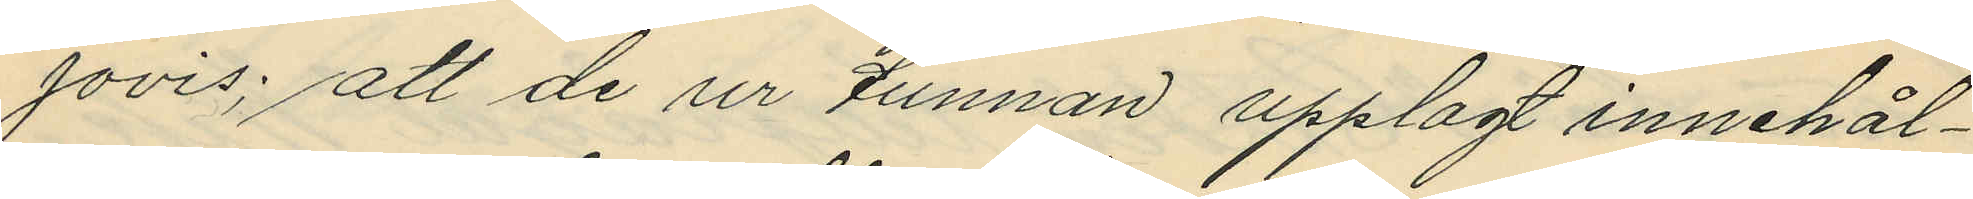jovis; att de ur tunnan upplagt innehål¬
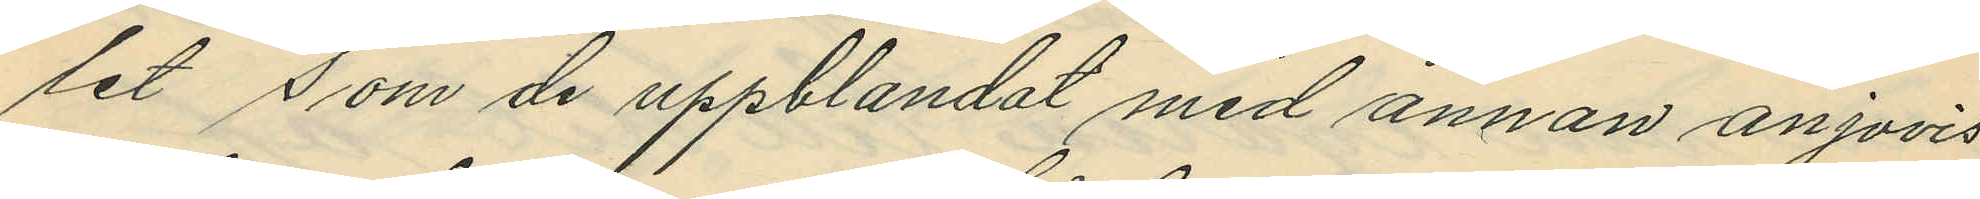let som de uppblandat med annan anjovis
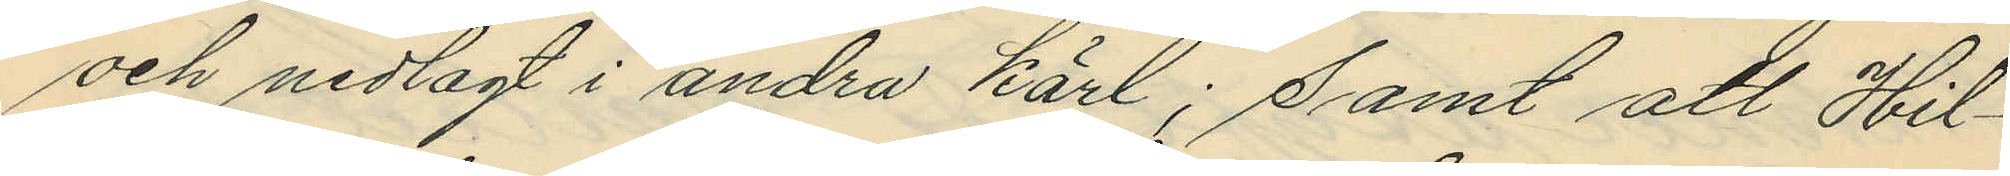och nedlagt i andra kärl; samt att Hil¬
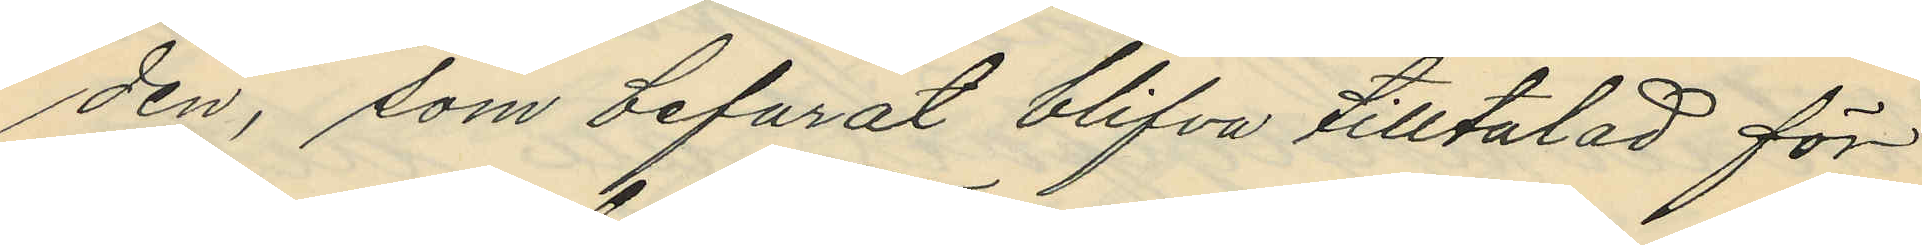den, som befarat blifva tilltalad för
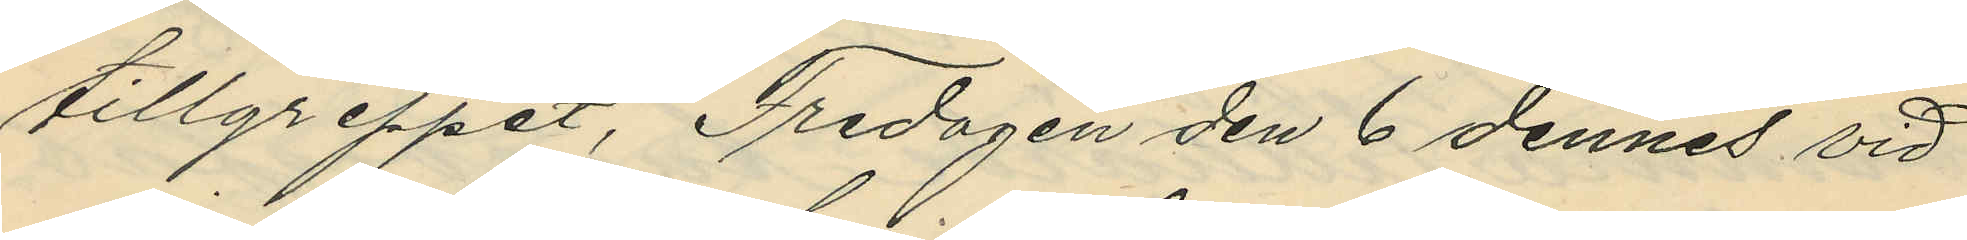tillgreppet, Fredagen den 6 dennes vid
